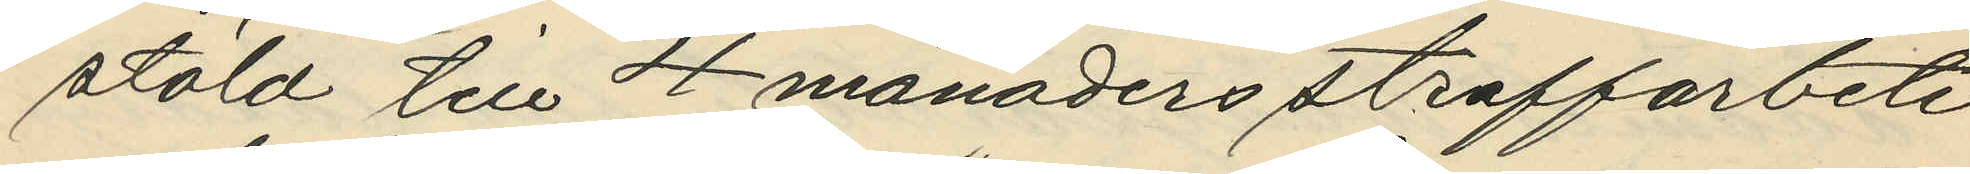stöld till 4 månaders straffarbete
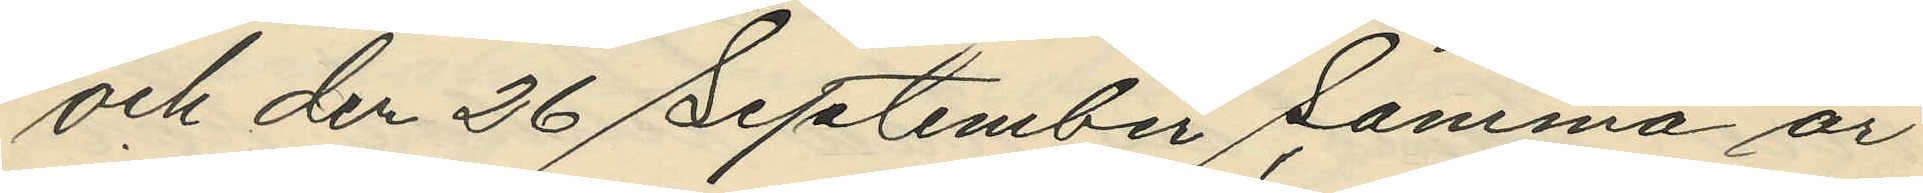och den 26 September samma år
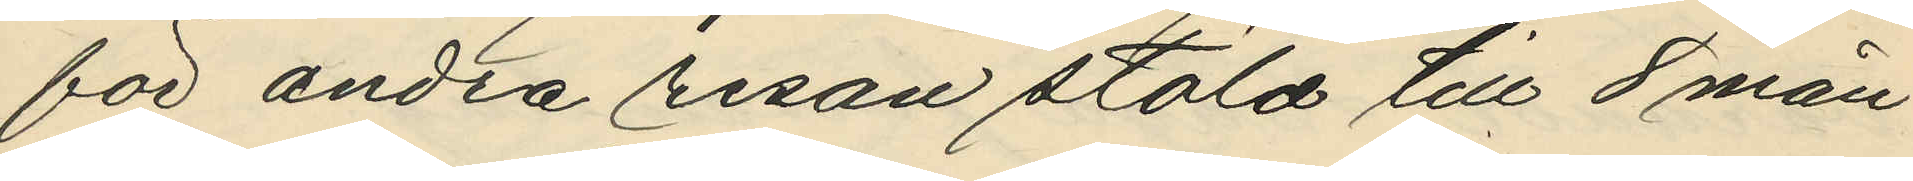för andra resan stöld till 8 mån
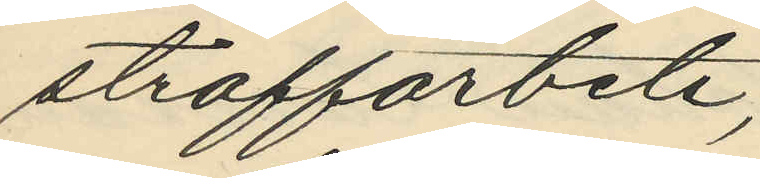straffarbete;
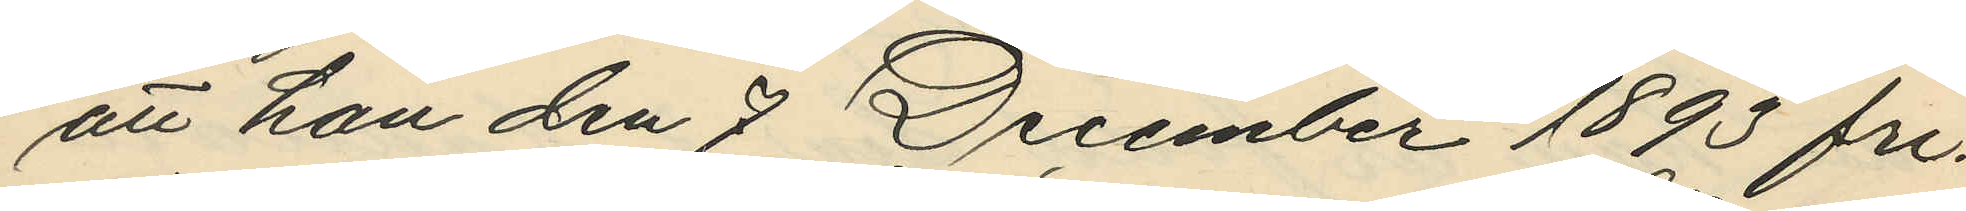att han den 7 December 1893 fri¬
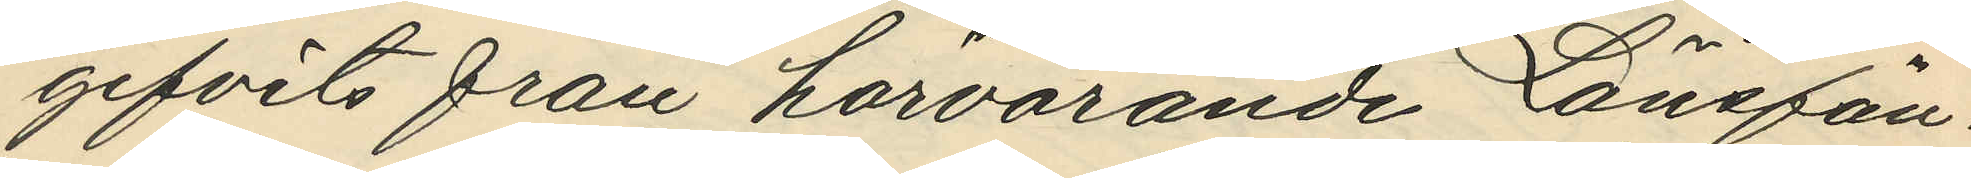gifvits från härvarande Länsfän¬
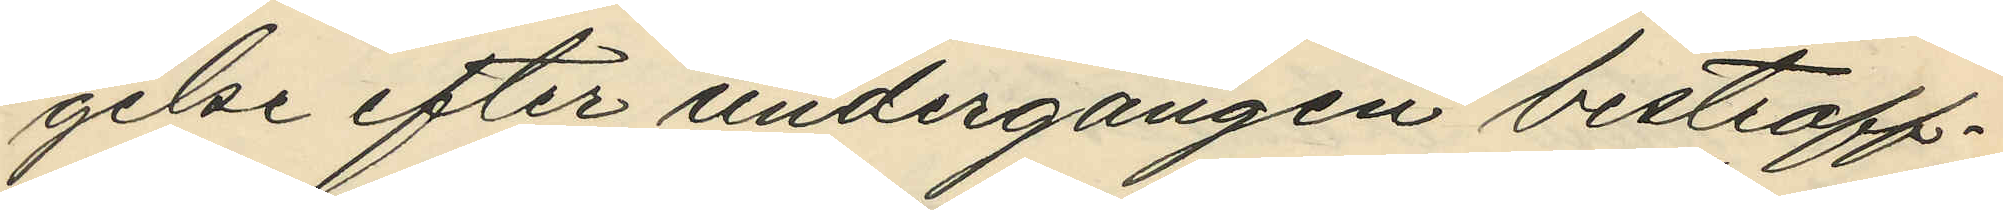gelse efter undergången bestraff¬
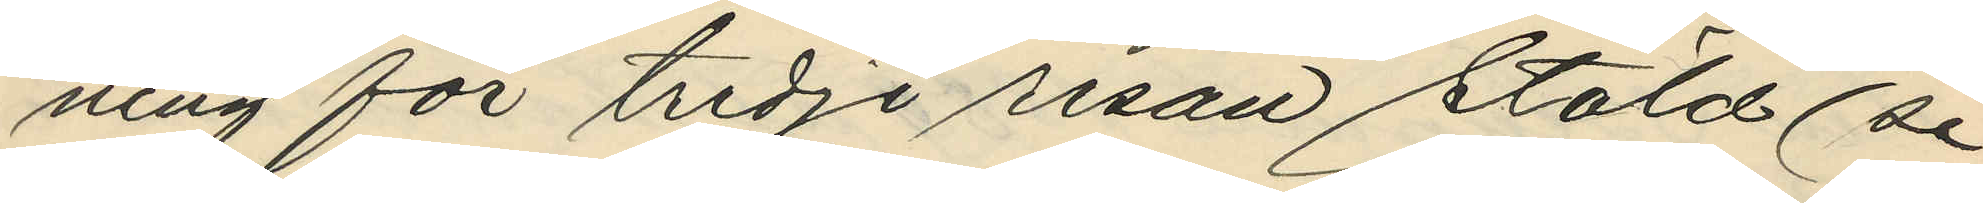ning för tredje resan stöld (se
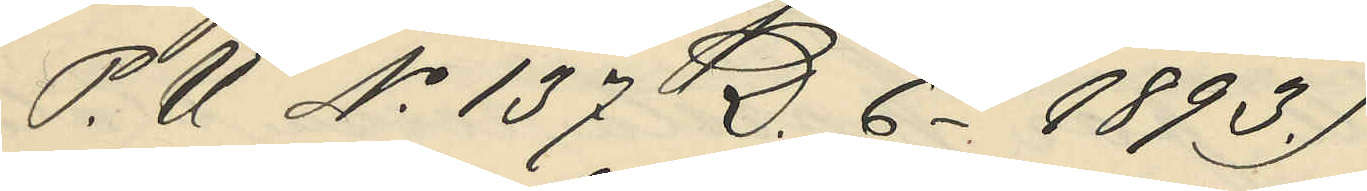P. U No 137 D. 6 - 1893.)
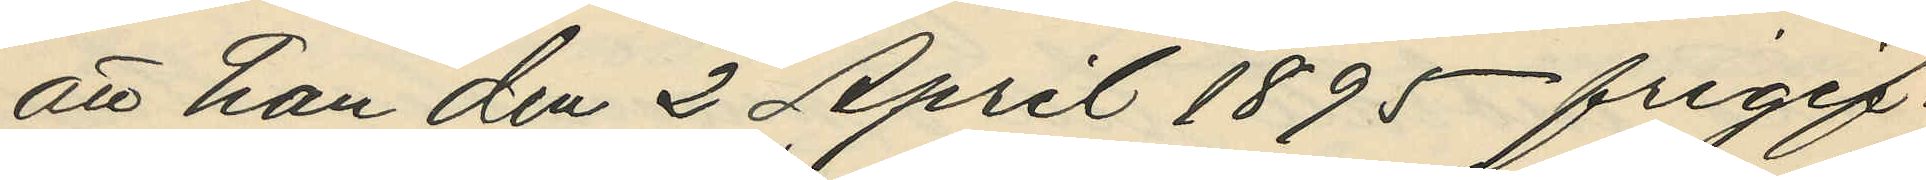att han den 2 April 1895 frigif¬
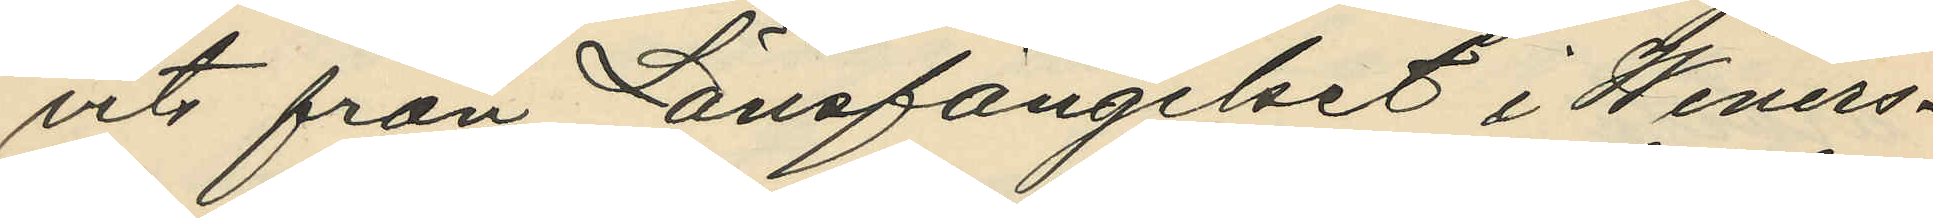vits från Länsfängelset i Weners¬
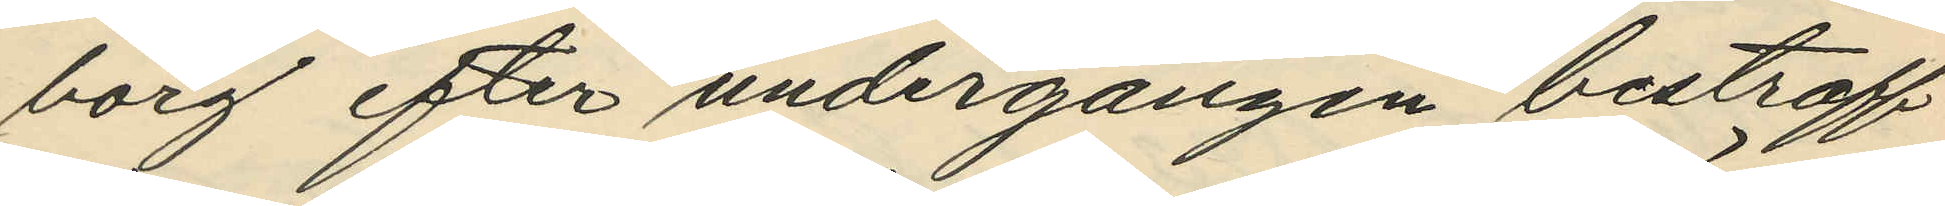borg efter undergången bestraff¬
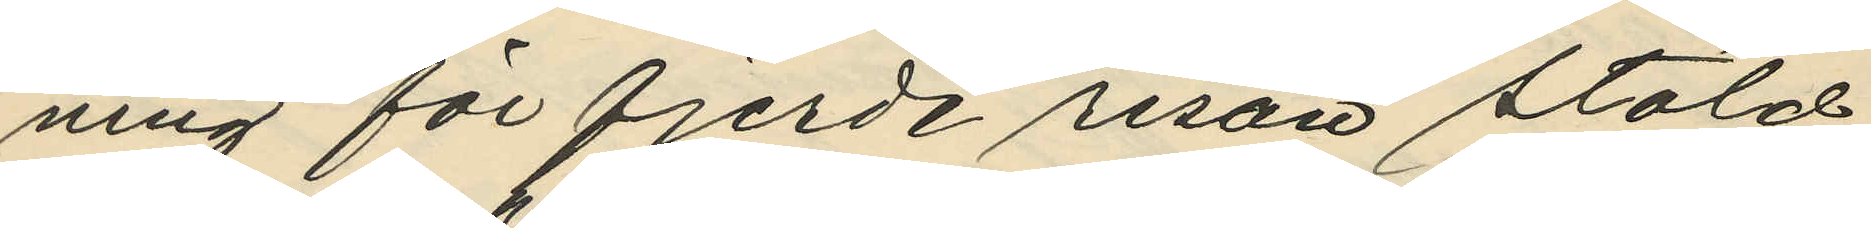ning för fjerde resan stöld
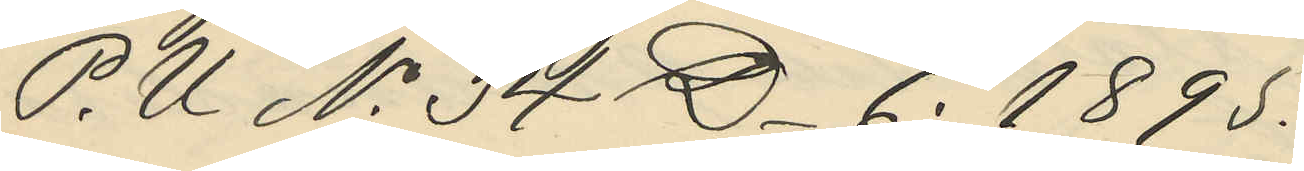P. U No 34 D_ 6. 1895.
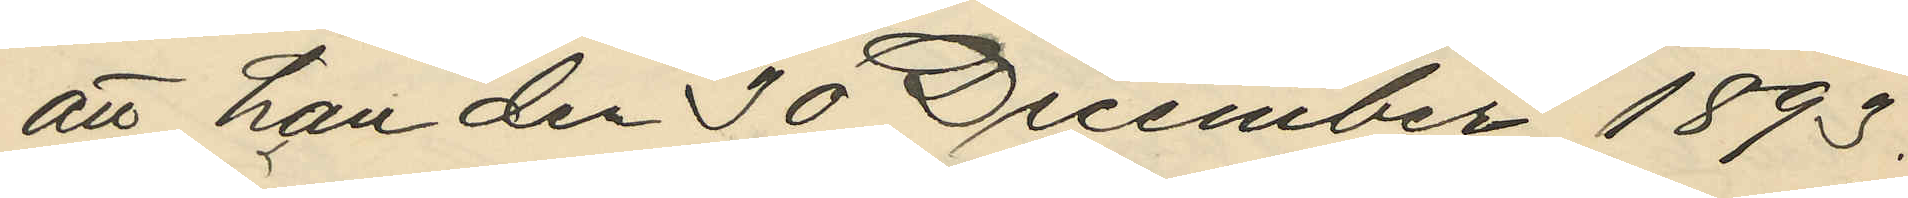att han den 30 December 1893,
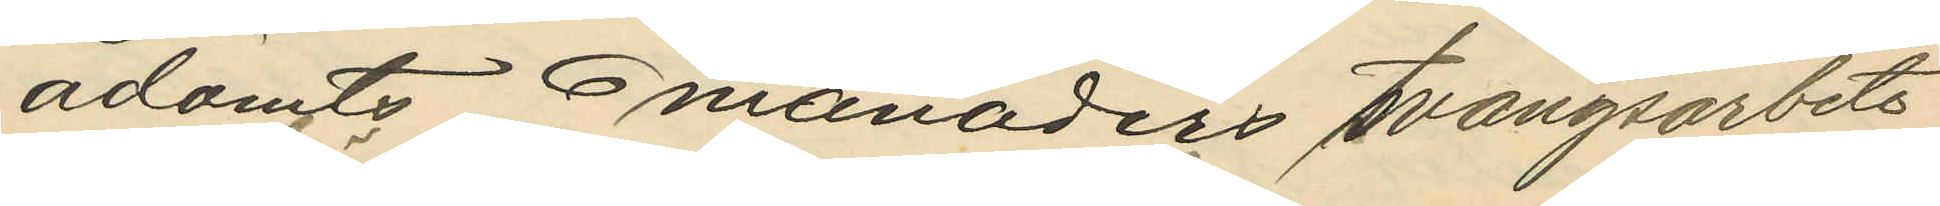ådömts 6 månaders tvångsarbete
